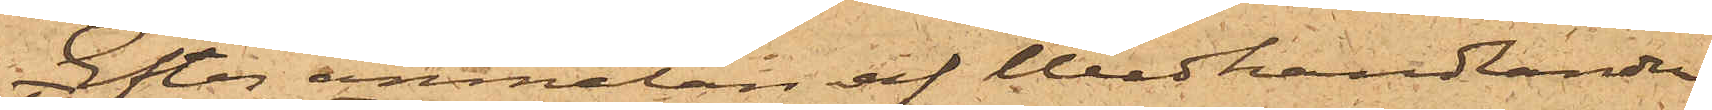Efter anmälan af Wedhandlanden
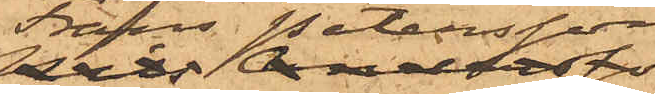Frans Petersson,
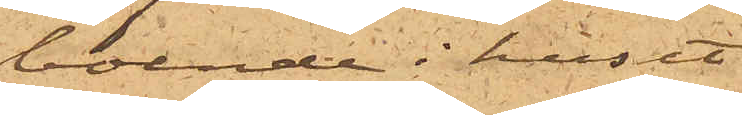boende i huset
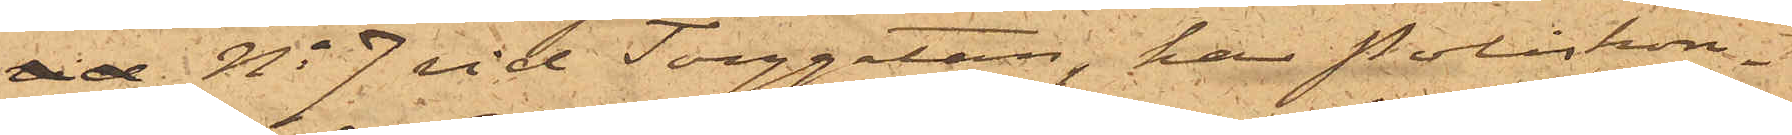vid No 7 vid Torggatan, har Poliskon¬
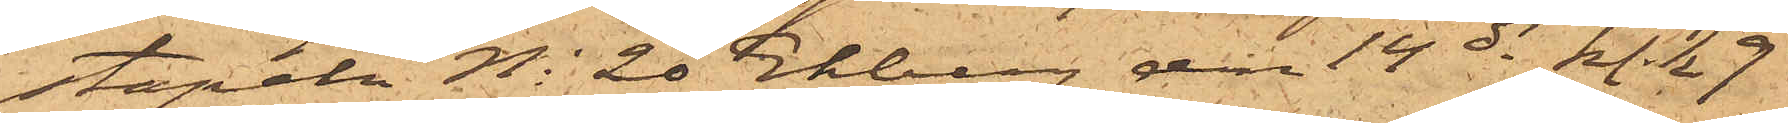stapeln No 20 Ekberg den 14 ds kl. ½ 9
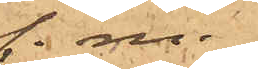f.m.
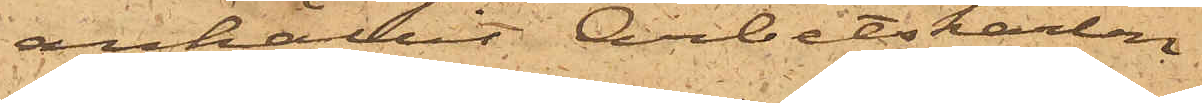anhållit Arbetskarlen
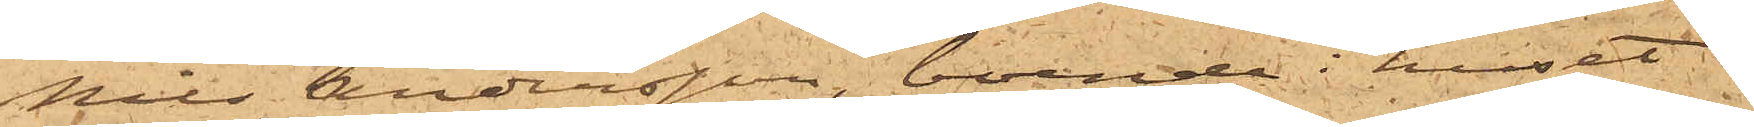Nils Andersson, boende i huset
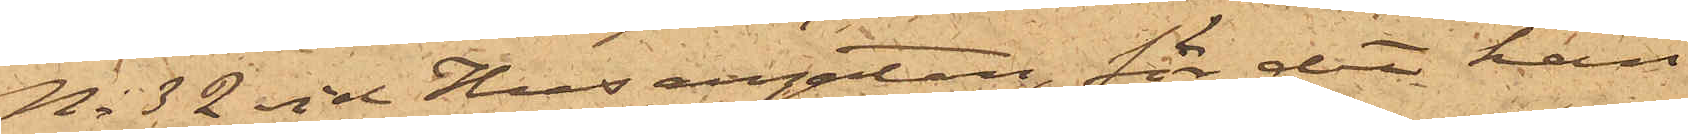No 32 vid Husargatan, för det han
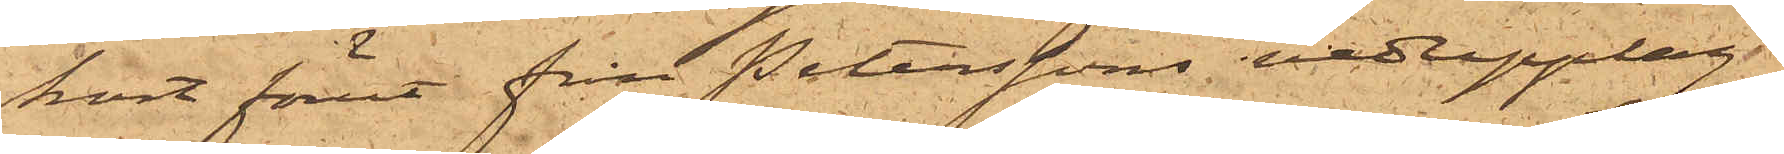kort förut från Peterssons vedupplag
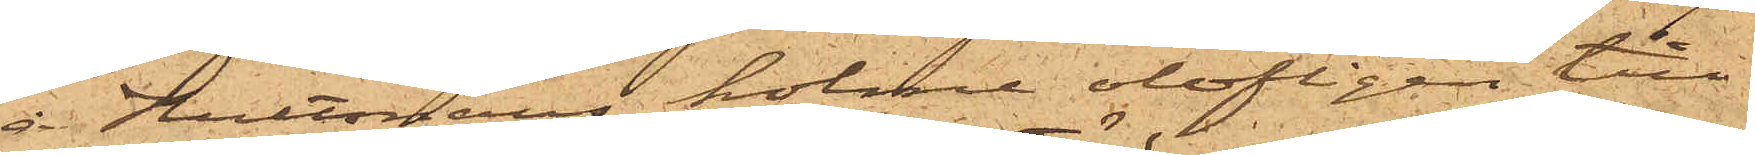å Hultmans holme olofligen till¬
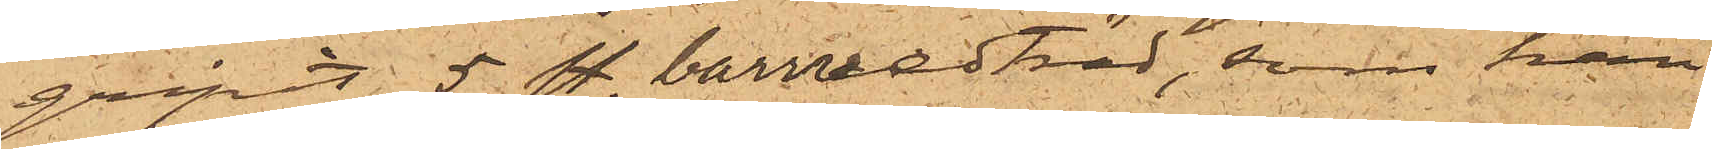gripit 5 sty. barrvedträd, som han
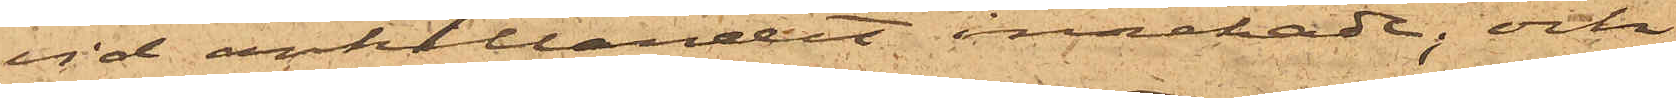vid anhållandet innehade; och
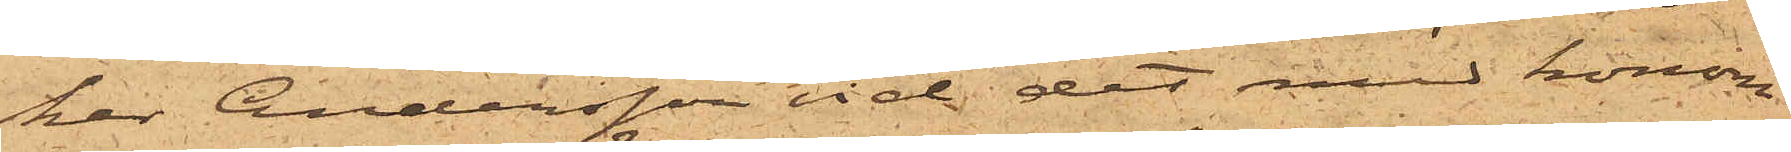har Andersson vid det med honom
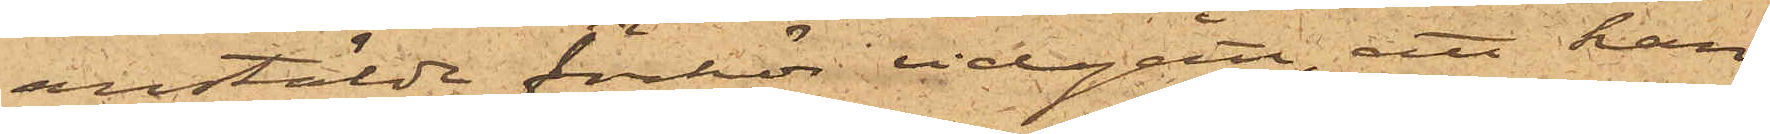anstälde förhör vidgått, att han
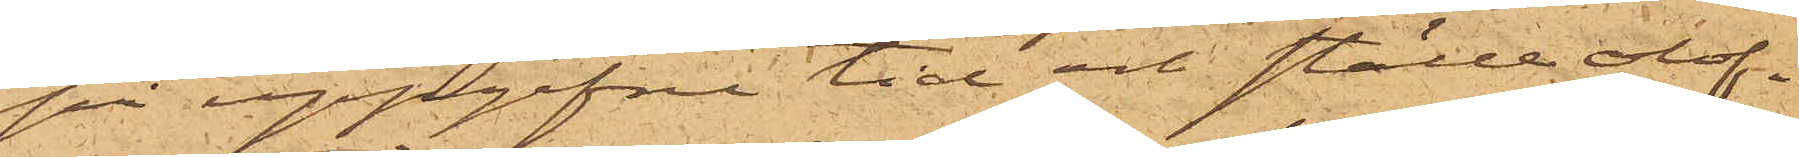på uppgifne tid och ställe olof¬
